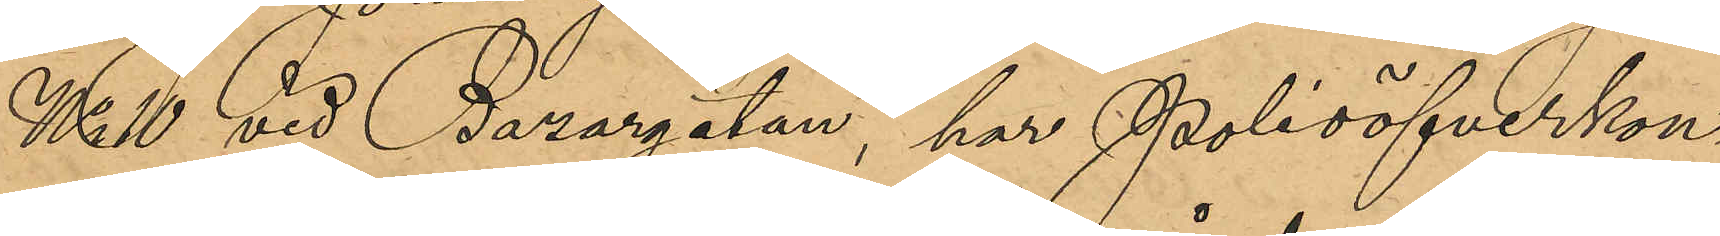No 10 vid Bazargatan, har Polisöfverkon¬
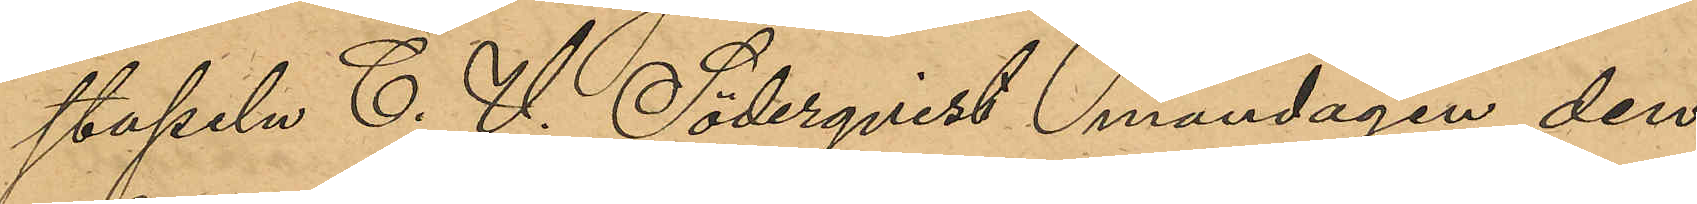stapeln C. V. Söderqvist måndagen den
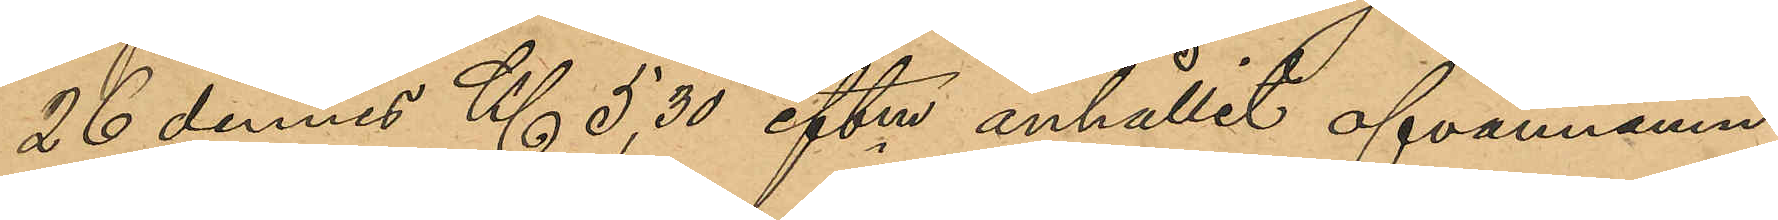26 dennes Kl 5,30 eftm anhållit ofvannämn¬
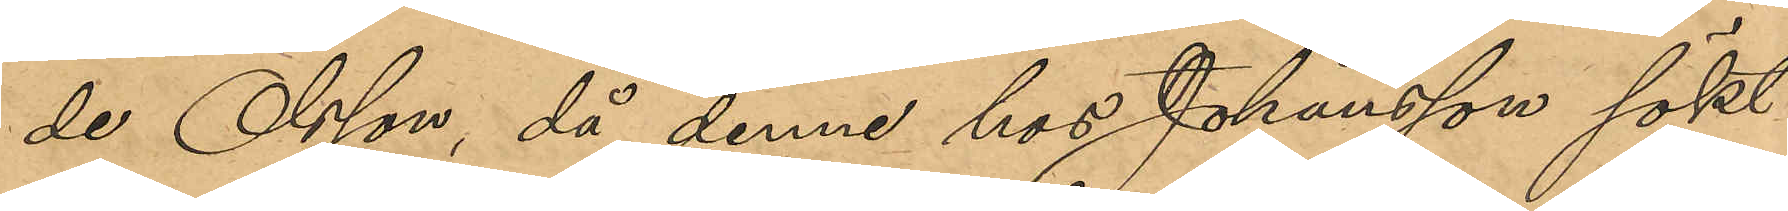de Olsson, då denne hos Johansson sökt
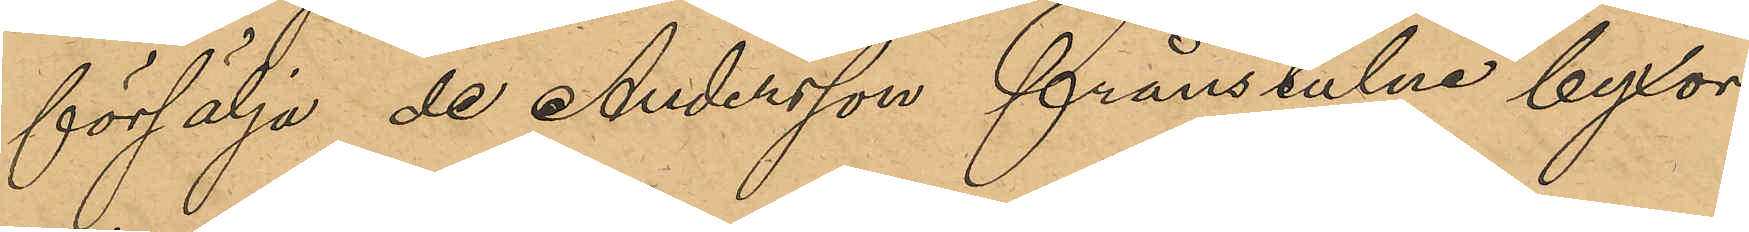försälja de Andersson frånstulne byxor¬
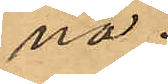na.
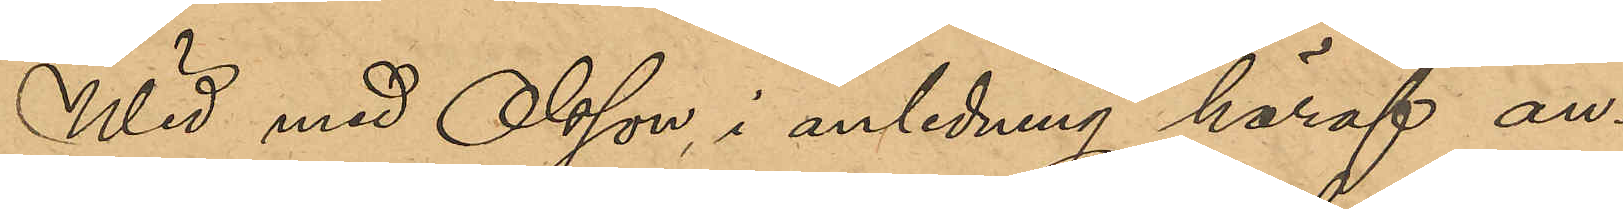Wid med Olsson i anledning häraf an¬
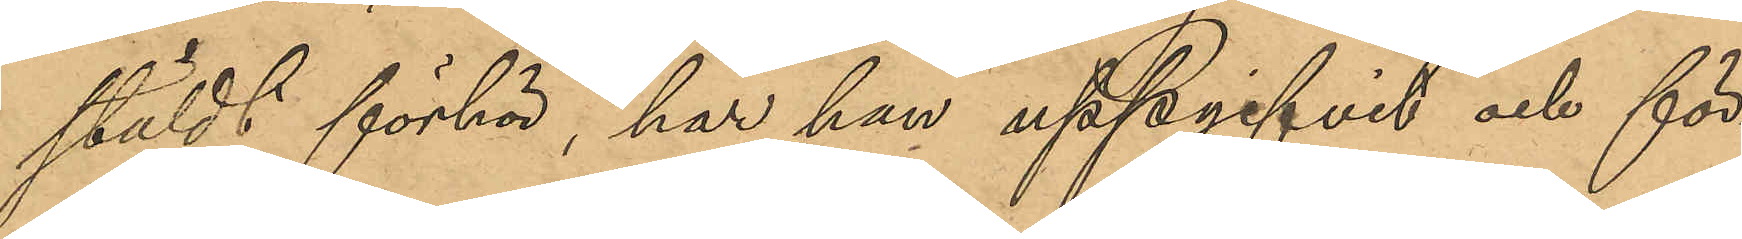stäldt förhör, har han uppgifvit och för¬
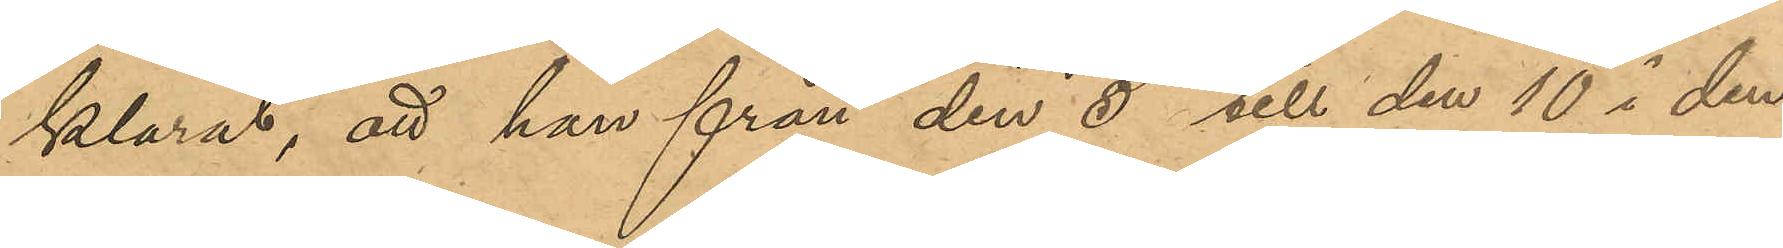klarat, att han från den 5 till den 10 i den¬
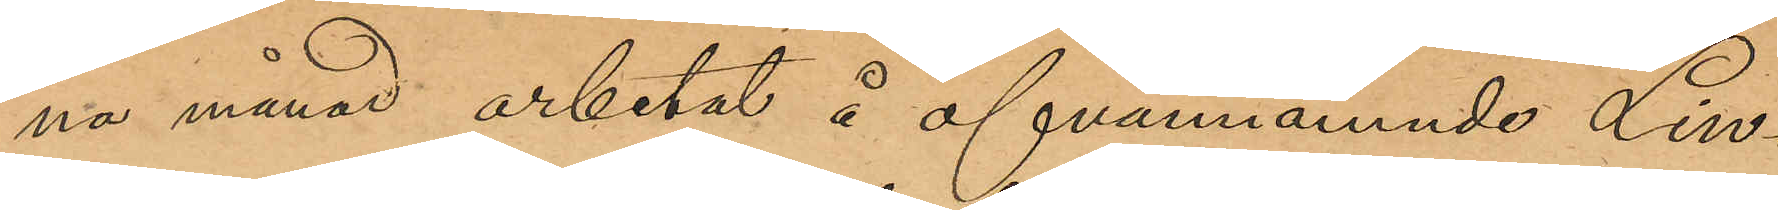na månad arbetat å ofvannämde Lin¬
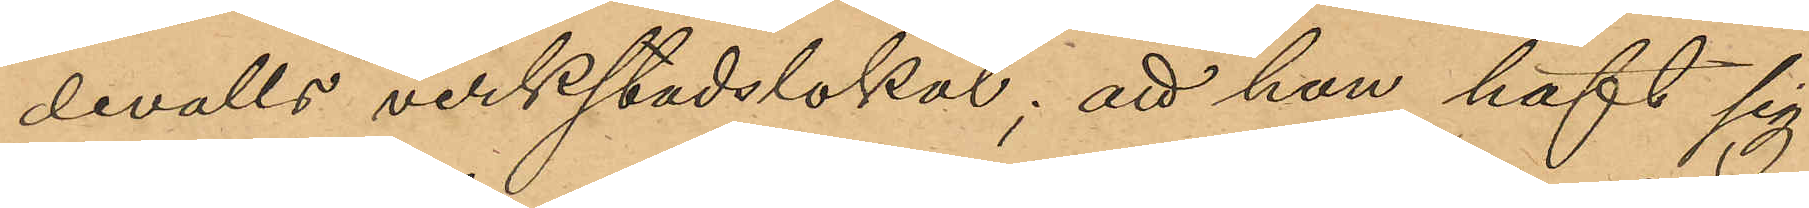devalls verkstadslokal; att han haft sig
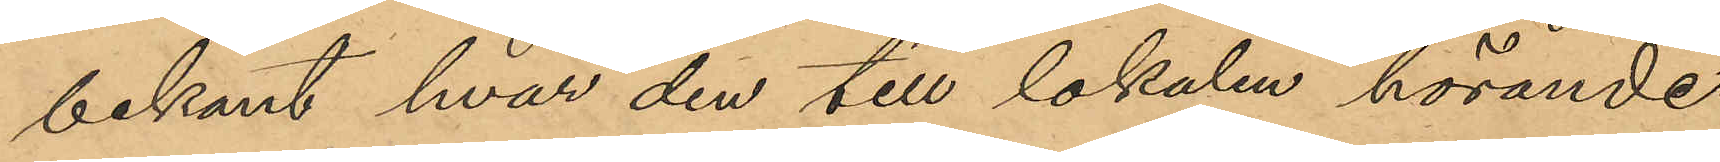bekant hvar den till lokalen hörande
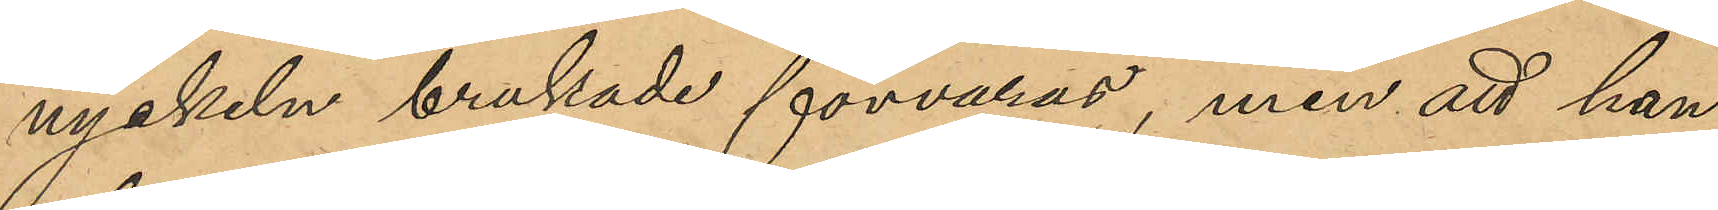nyckeln brukade förvaras, men att han
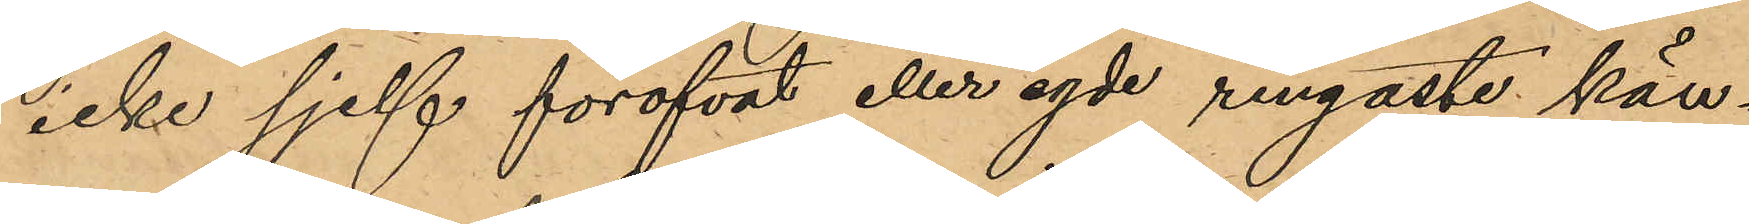icke sjelf föröfvat eller egde ringaste kän¬
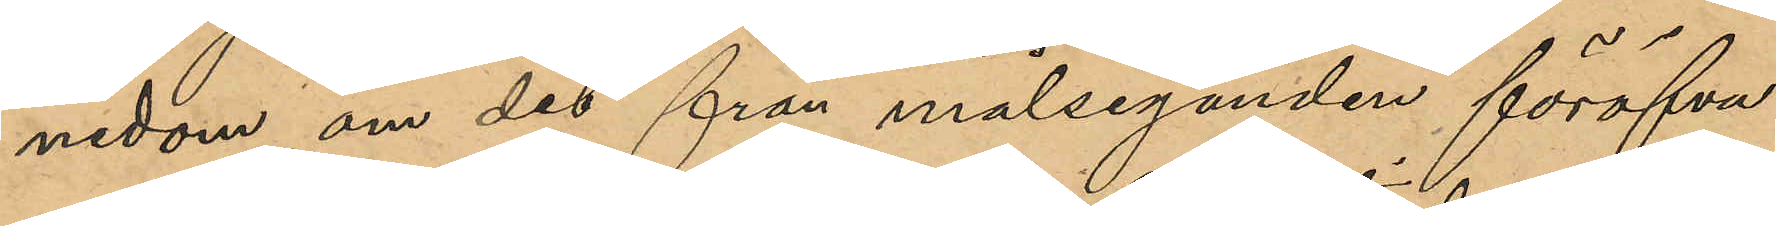nedom om det från målseganden föröfva¬
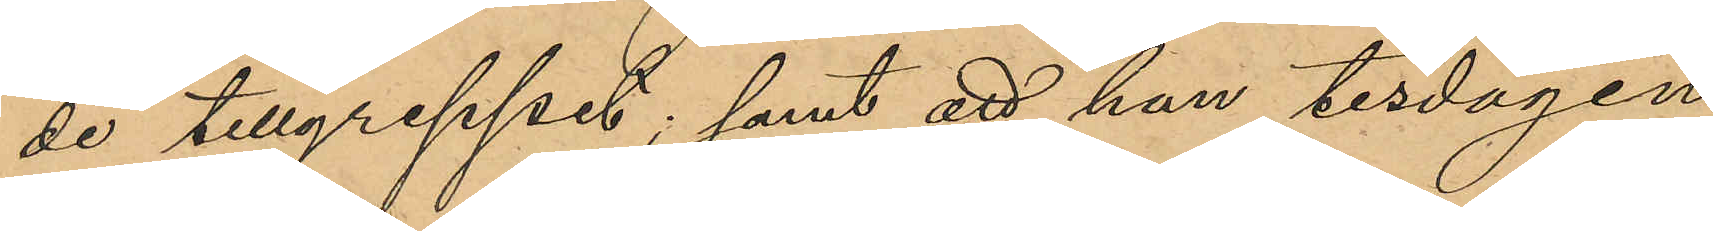de tillgreppet; samt att han tisdagen
